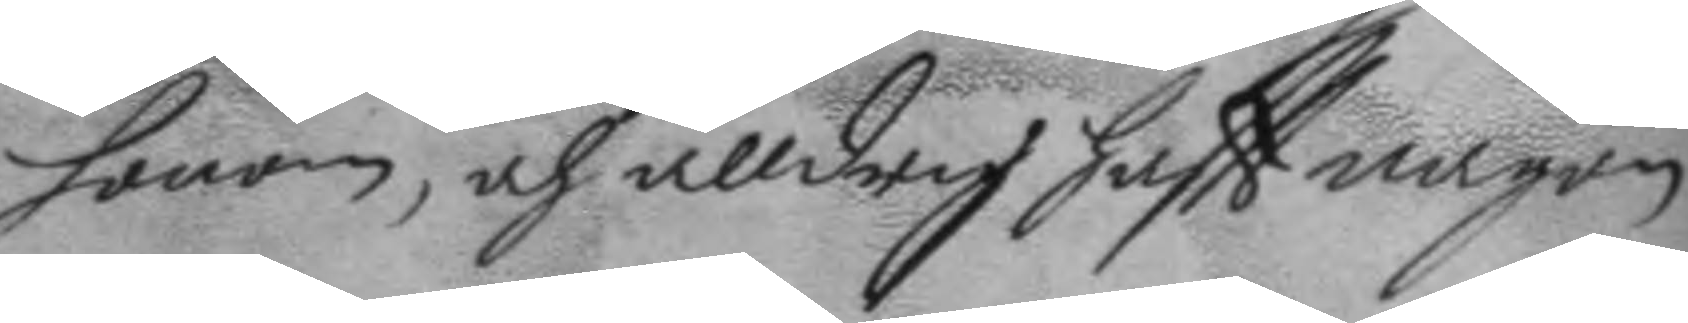honom, och alldrig haftt någon
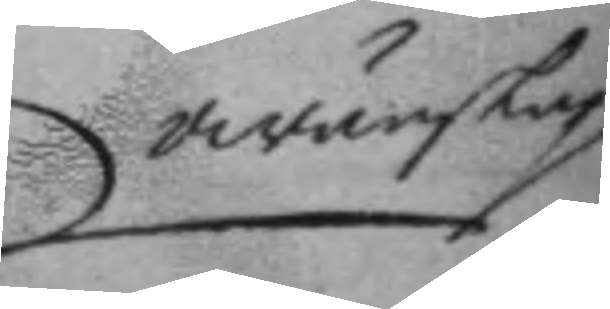owänskap
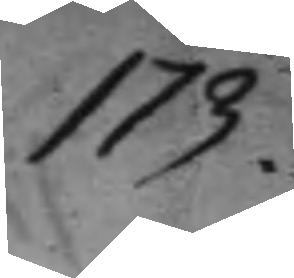173.
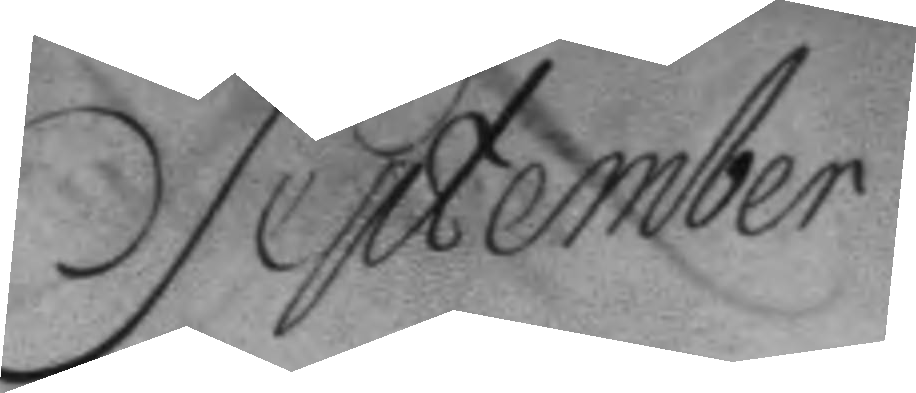September
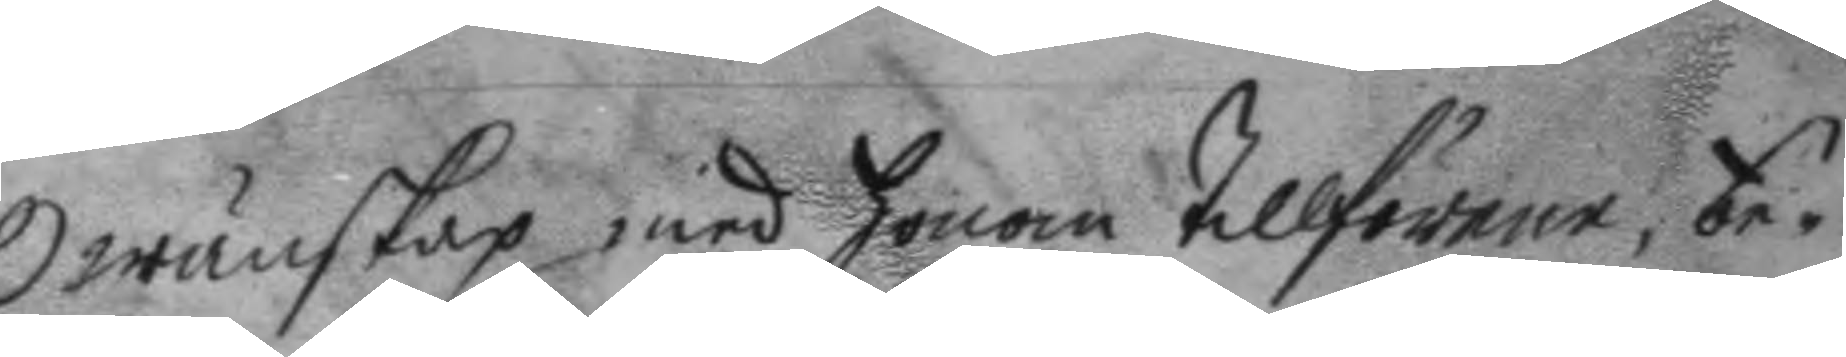Owänskap med honom tillförene, be¬
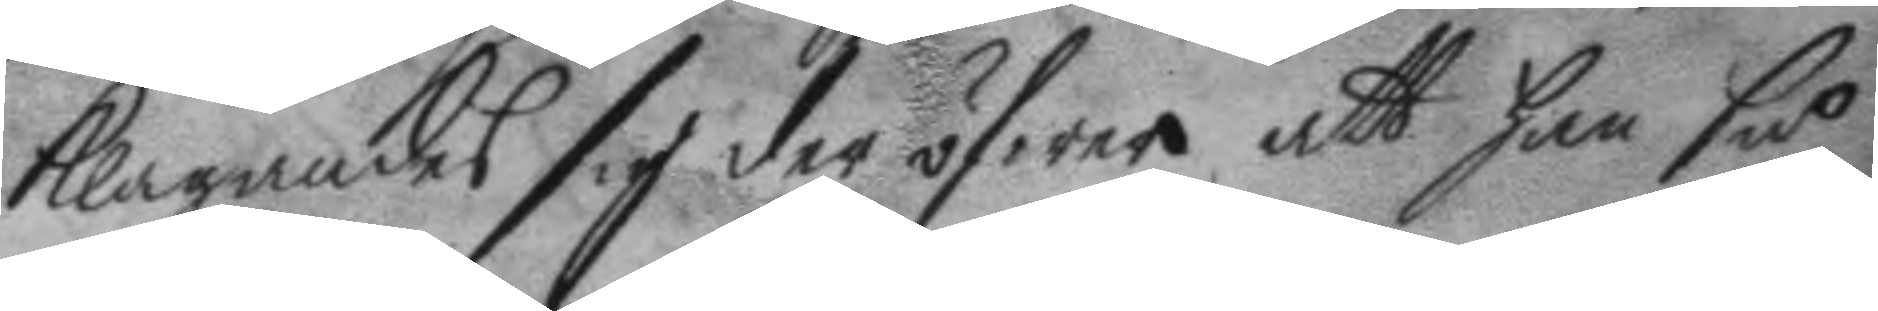klagandes sig der öfwer att han så
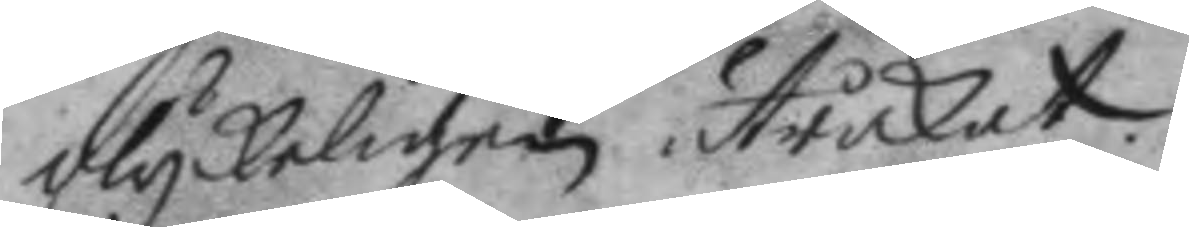olyckeligen utråkat.
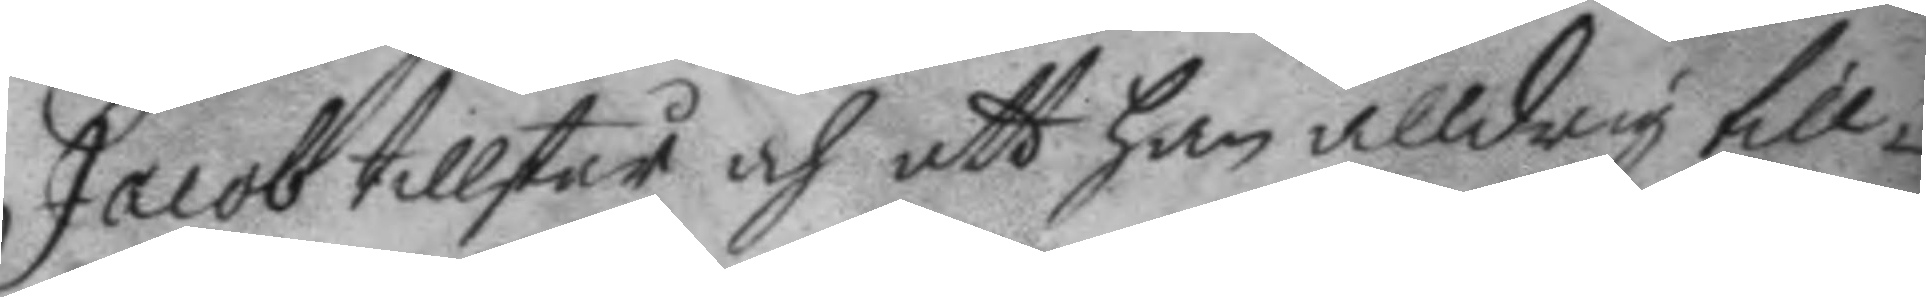Jacob tillstår och att han alldrig till¬
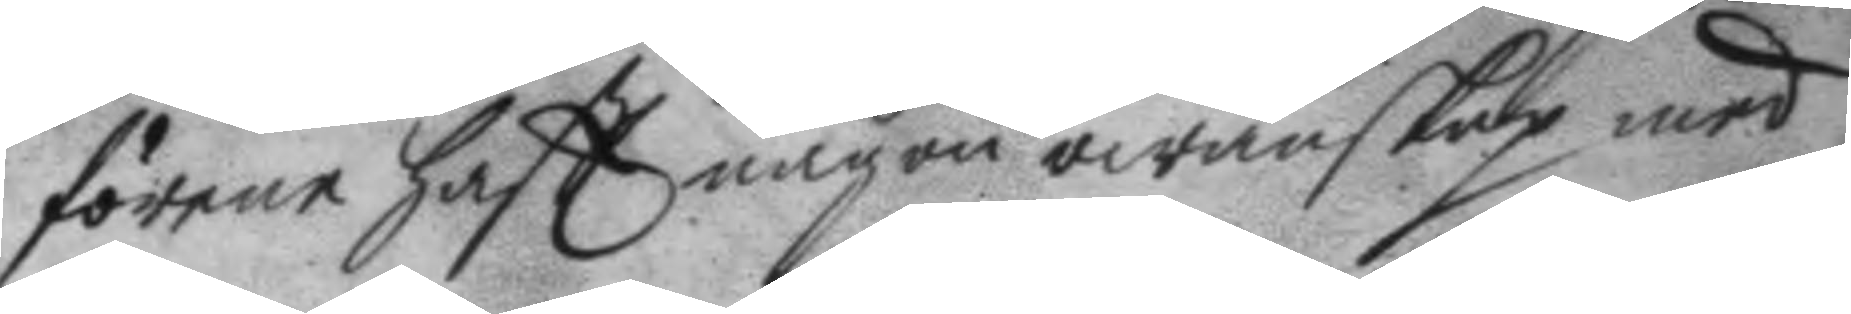förene haftt någon owänskap med
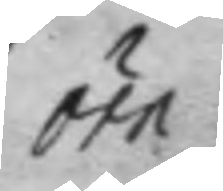örn:
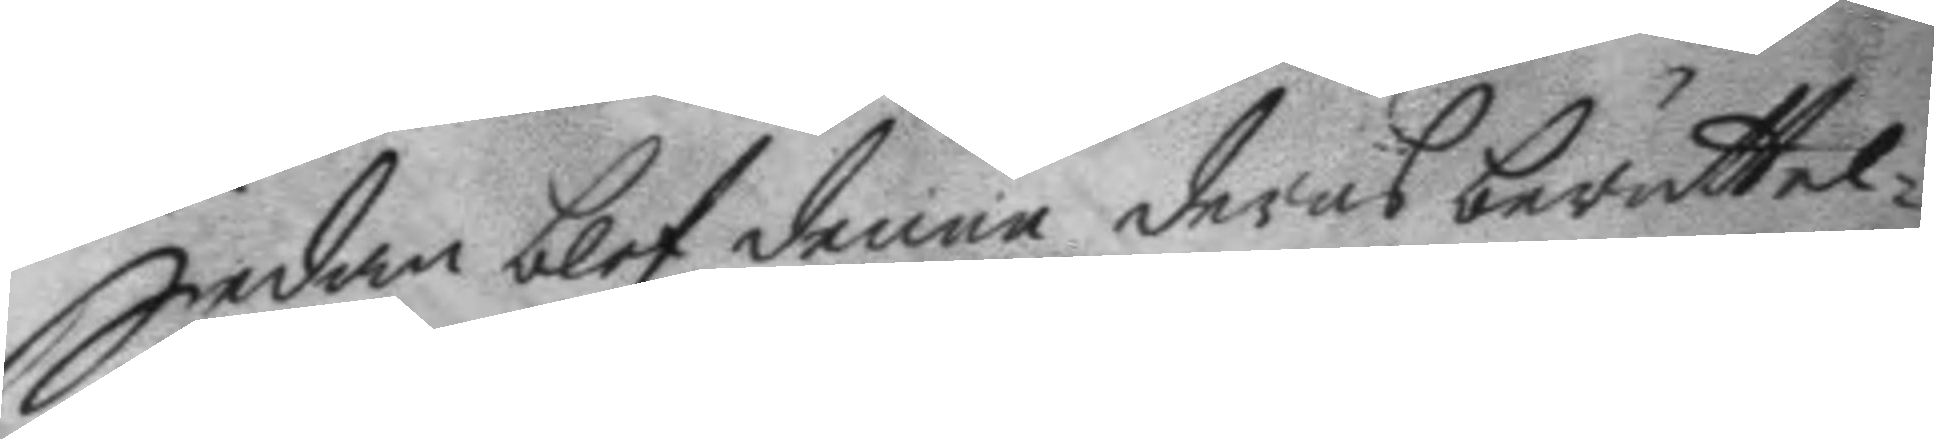Sedan blef denne dera berättel¬
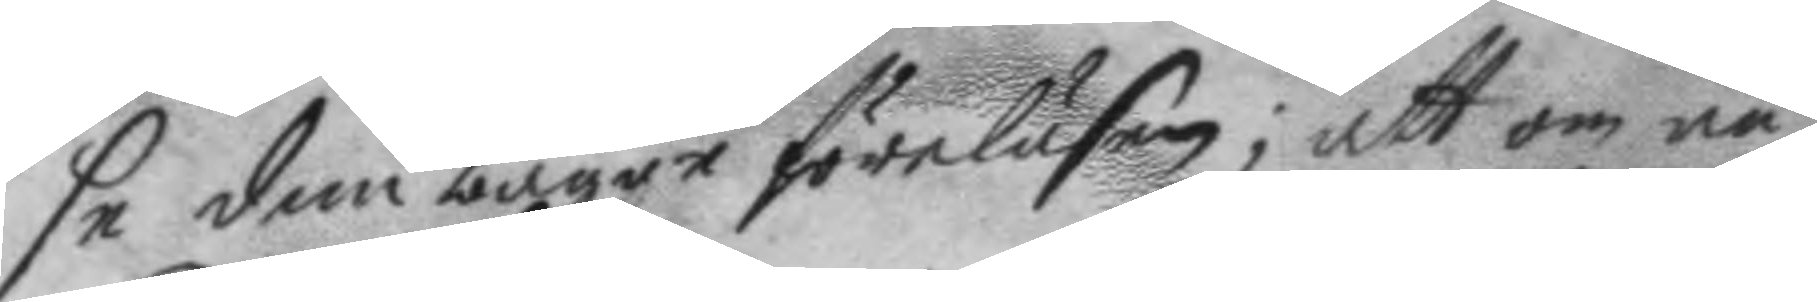se dem bägge föreläsen; att om nu
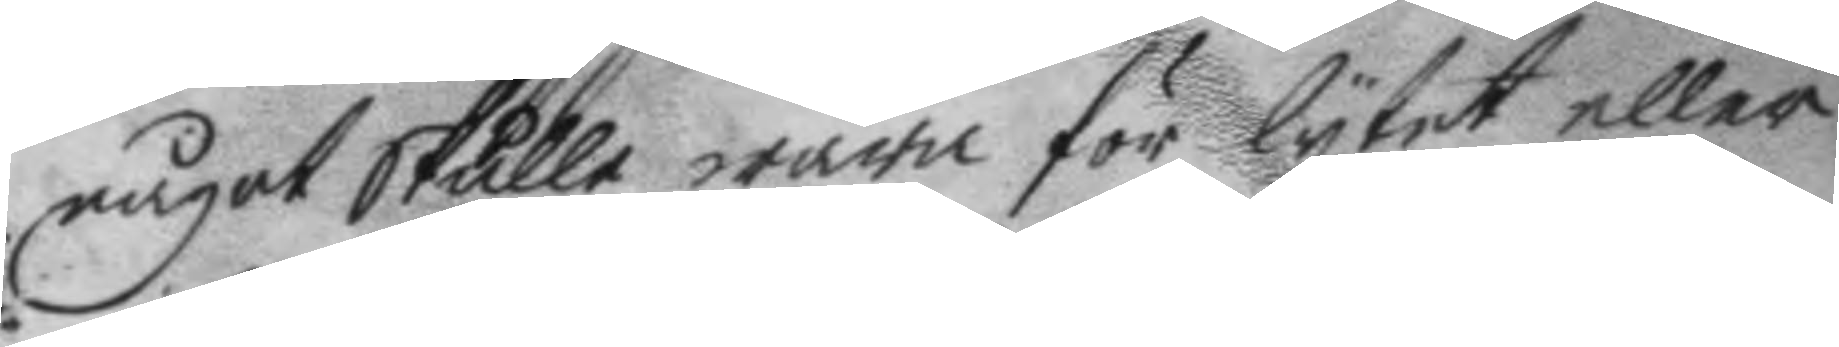något skulle wara för lytet eller
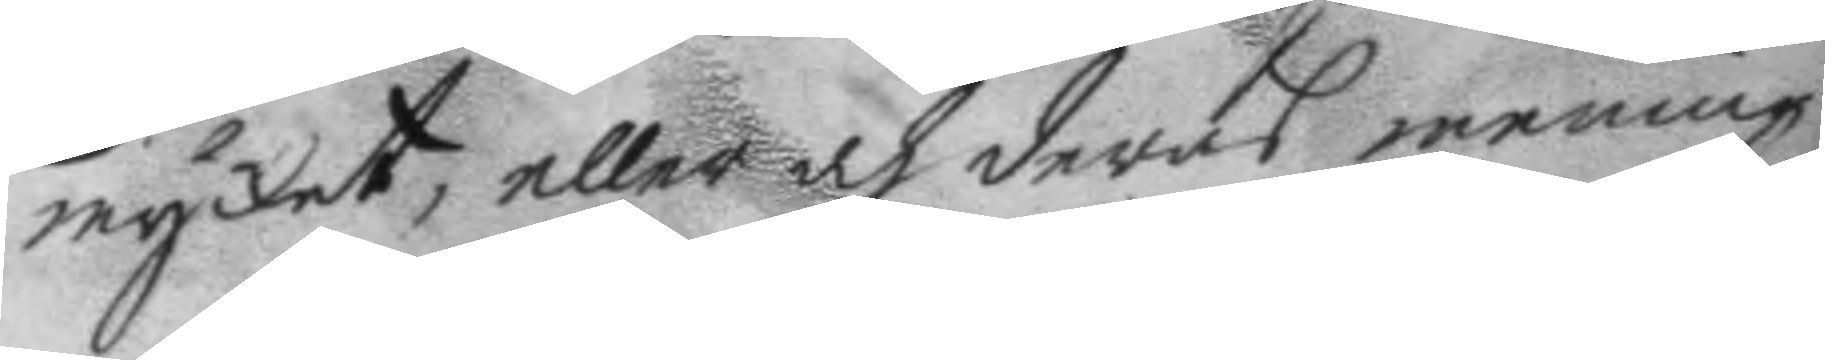mycket, eller och deras mening
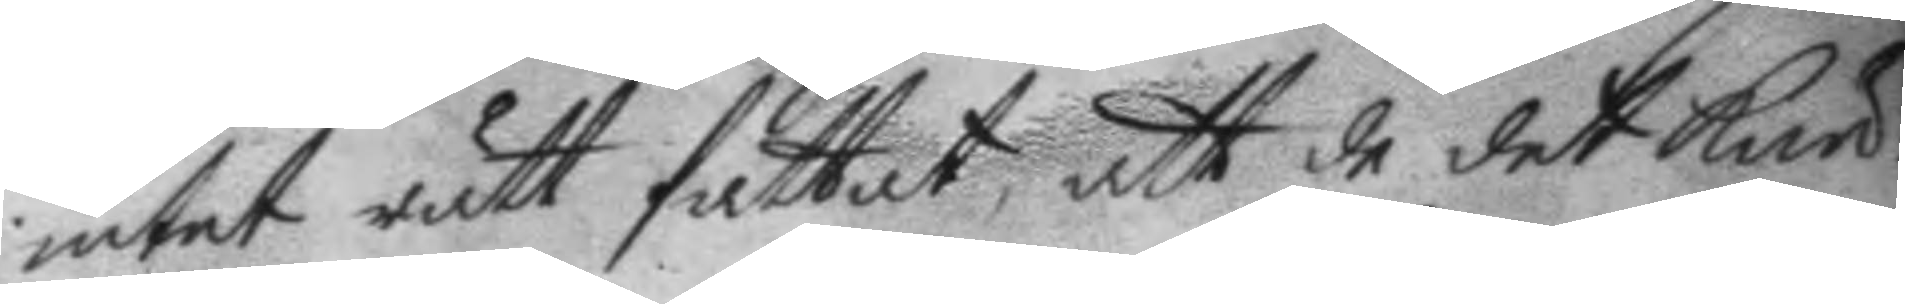intet rätt fattat, att de det kun¬
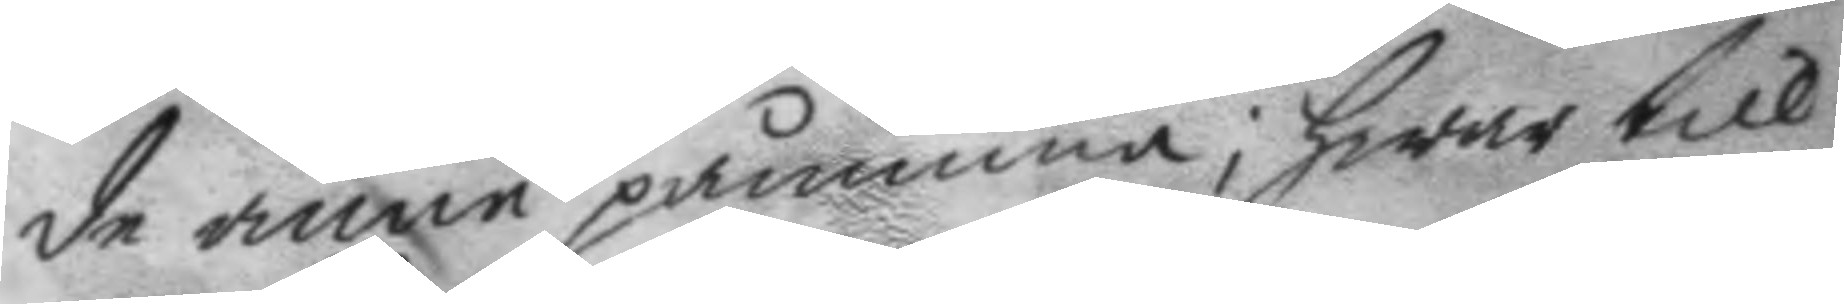de ännu påminna; hwar till
